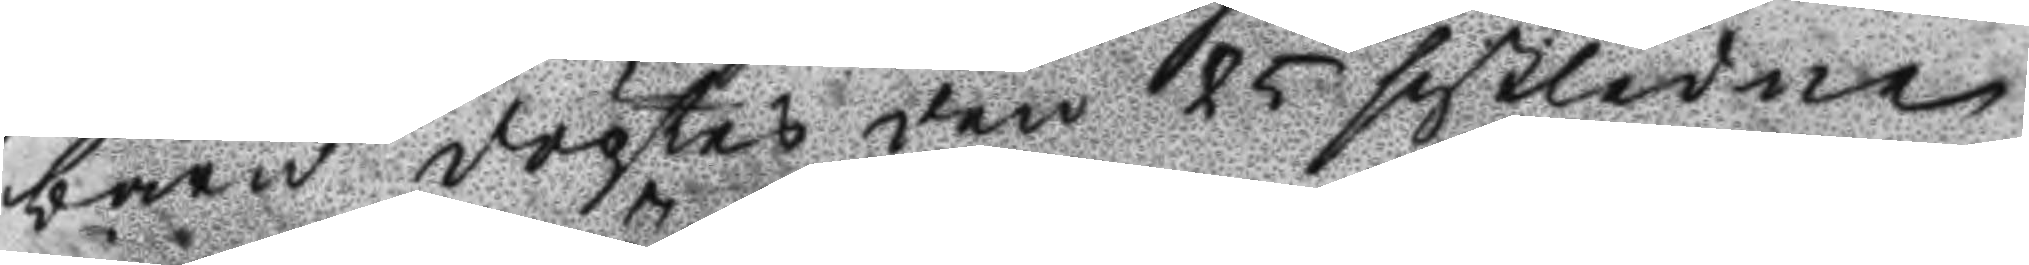barn döptes den 25 sistledne
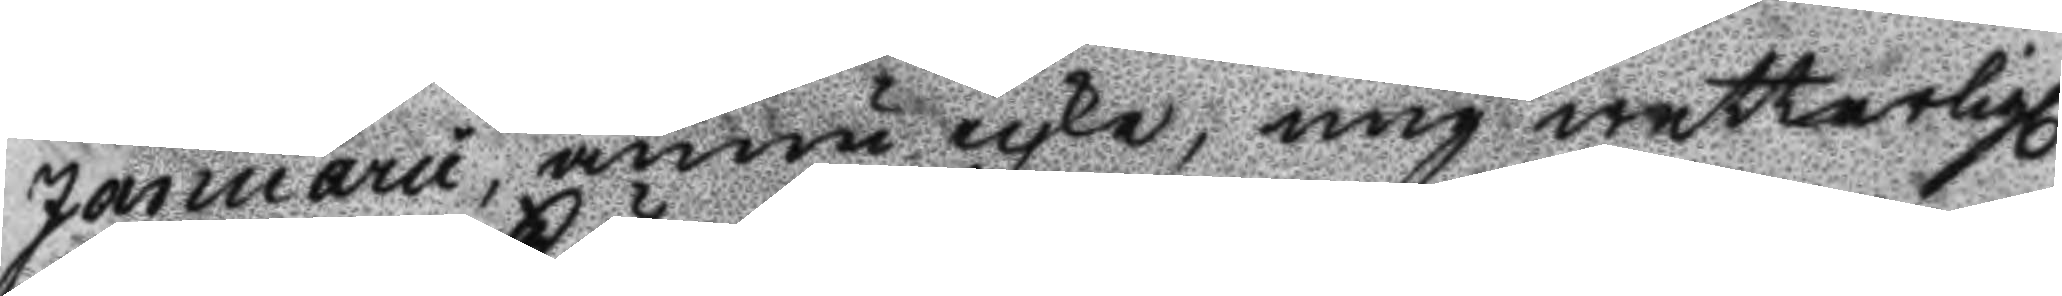Januarii, ännu icke, mig wetterligl.
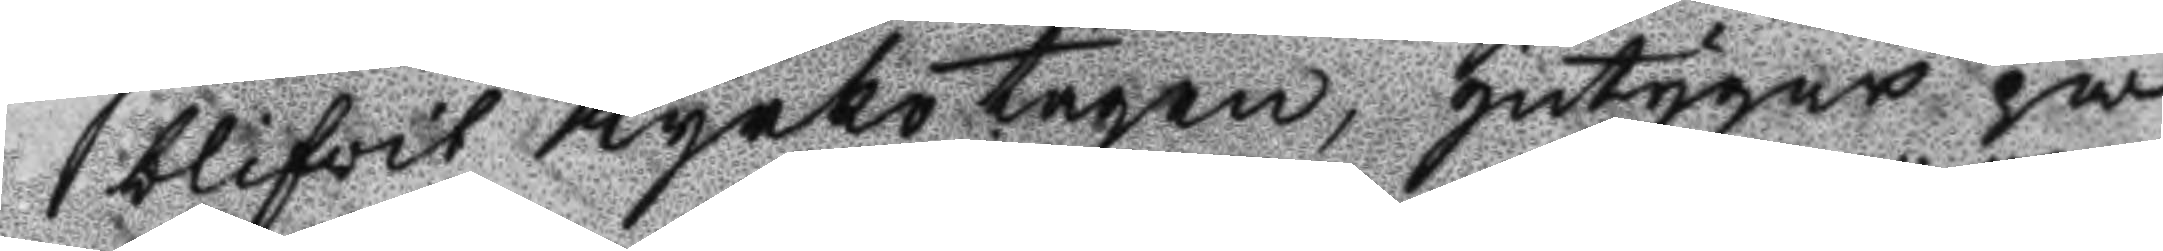blifvit Kyrkotagen, Intygar på
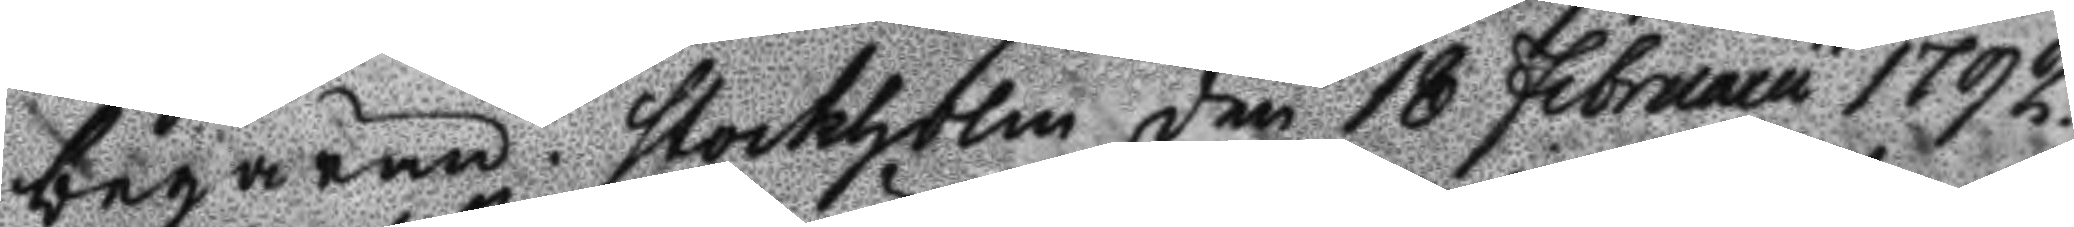begäran. Stockholm den 18 Februarii 1792.
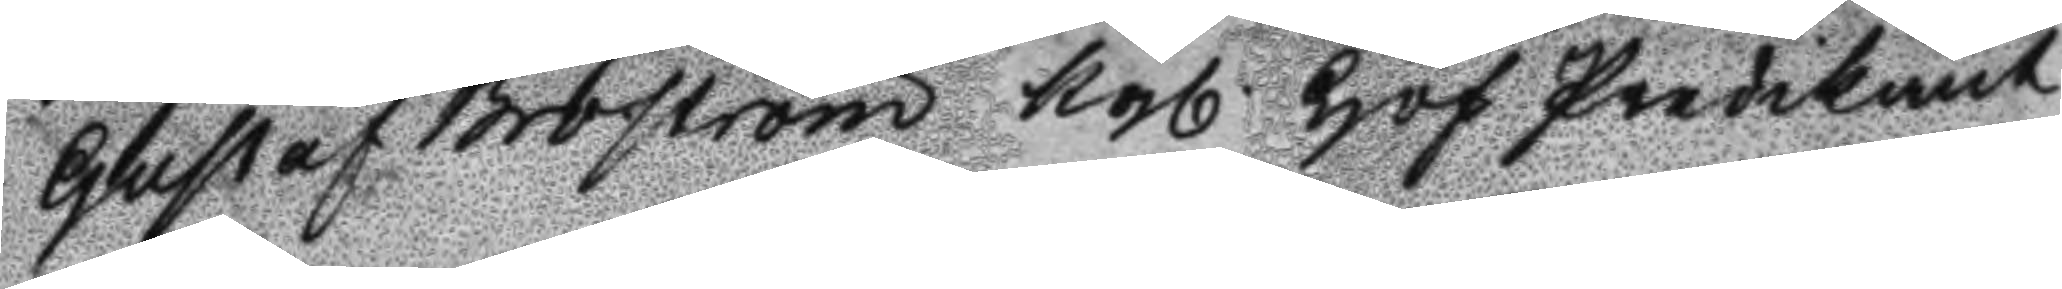Gustaf Broström Kgl. Hof Predikant
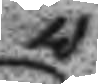v:
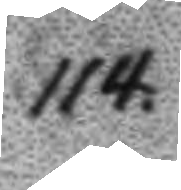114.
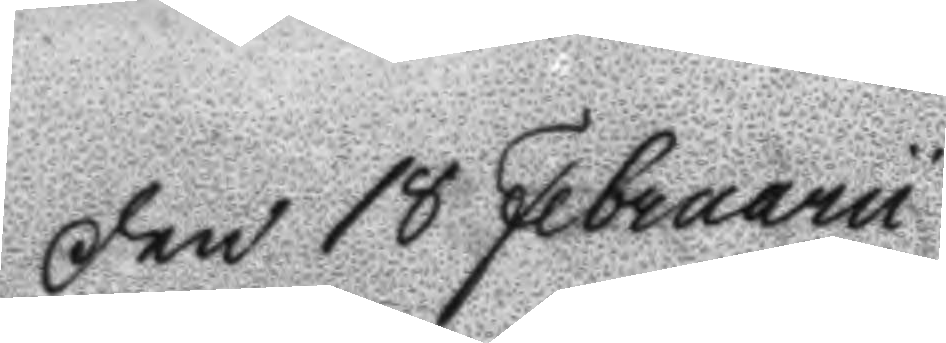Den 18 Februarii
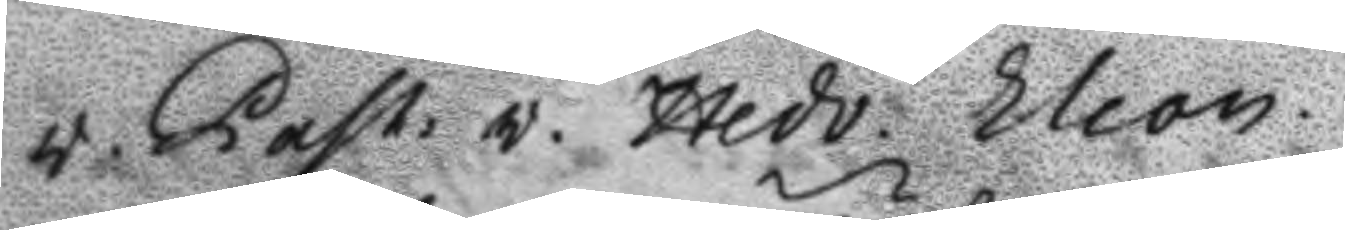v. Past. v. Hedv. Eleon.
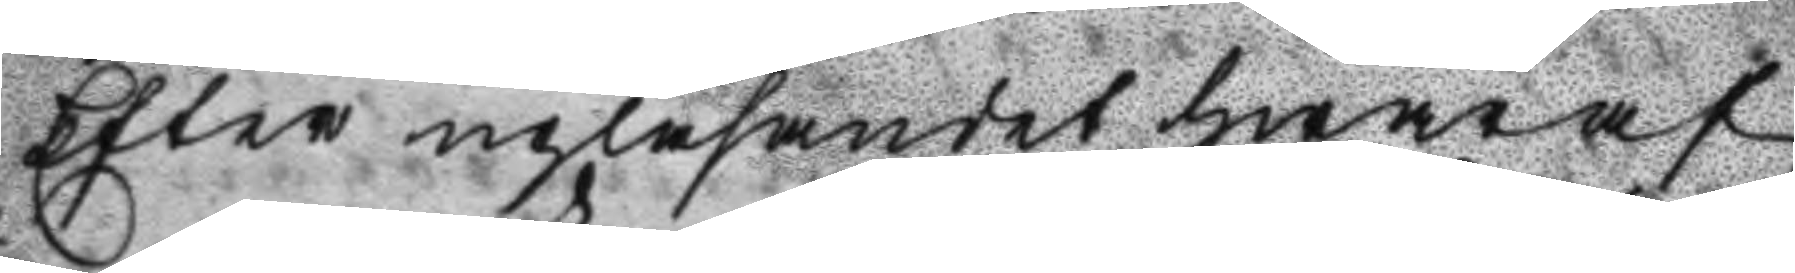Efter upläsandet hwaraf
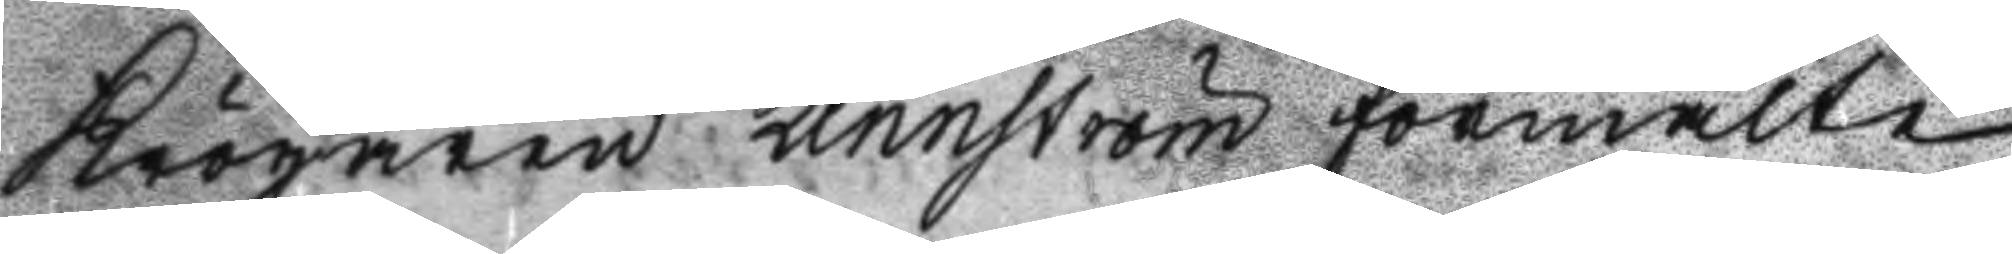Krögaren Lennström förmälte
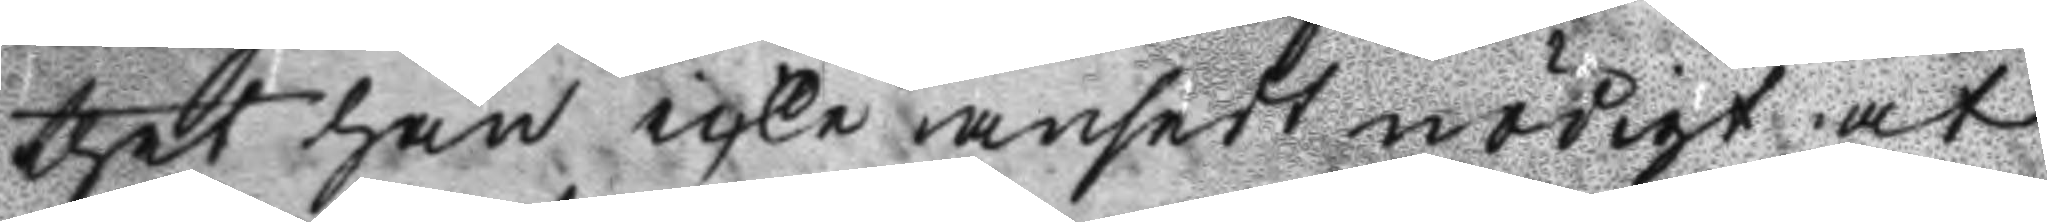thet han icke ansedt nödigt at
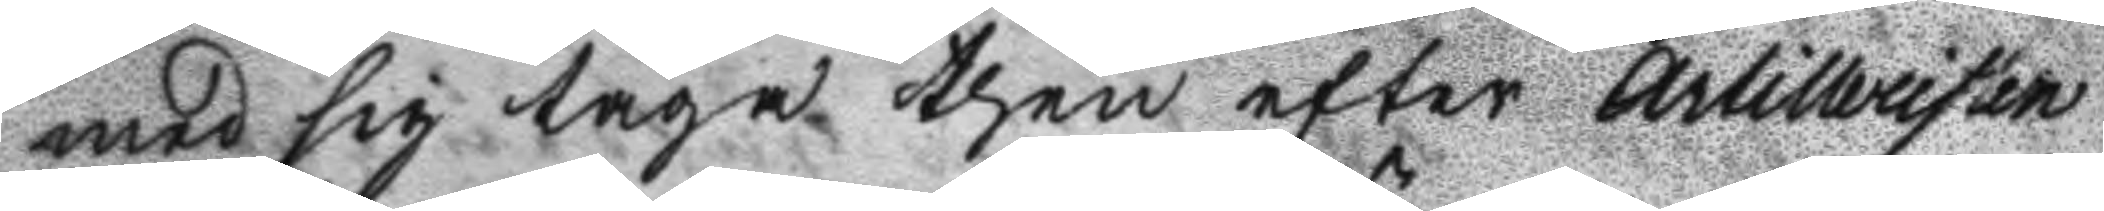med sig taga then efter Artilleristen
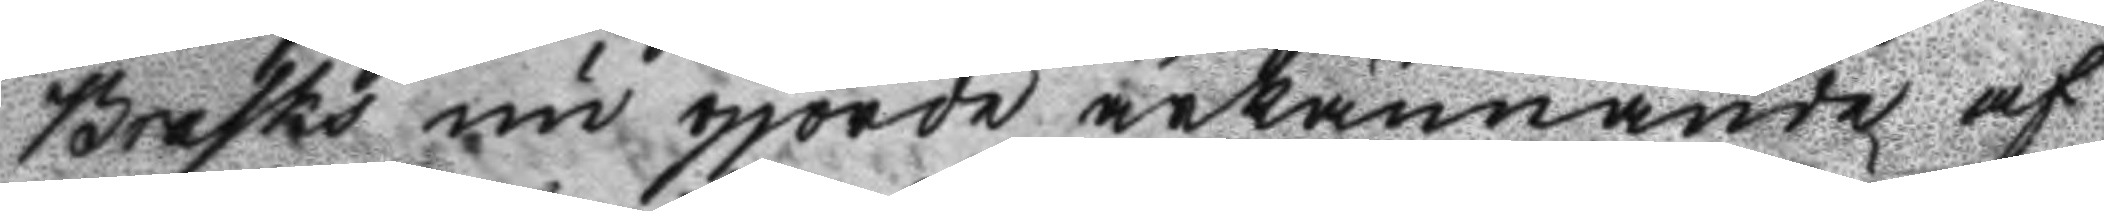Brasks nu gjorde ärkännande af
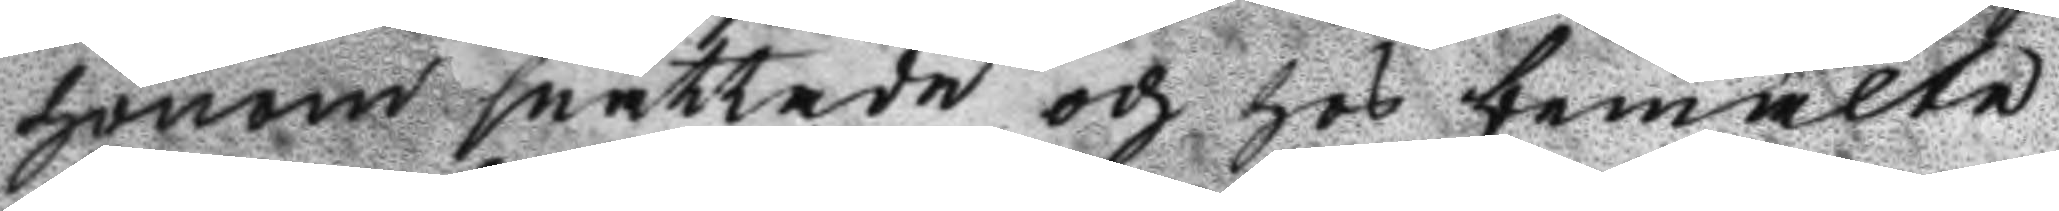honom snattade och hos bemälte
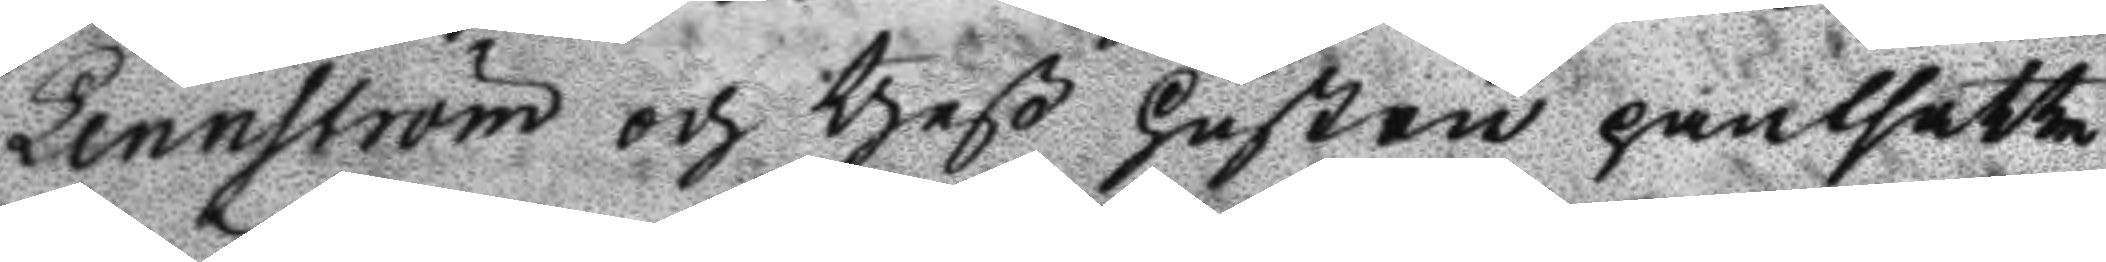Lennström och theß Hustru pantsatte
